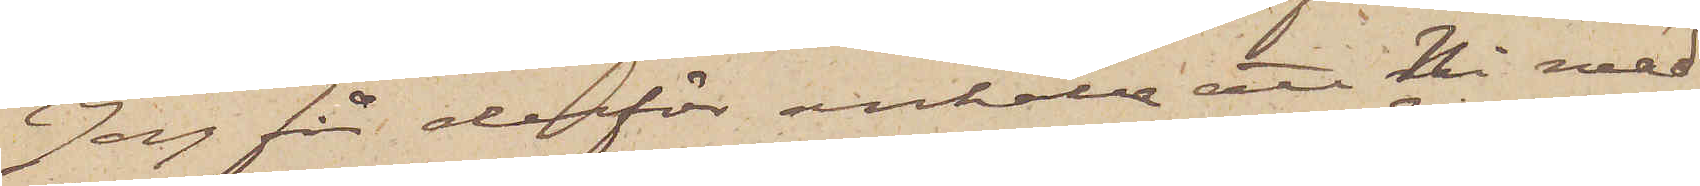Jag för derför anhålla att Ni med
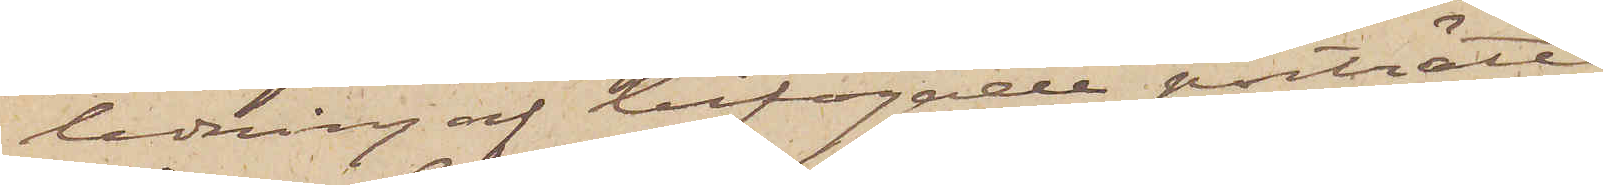ledning af bifogade porträttet
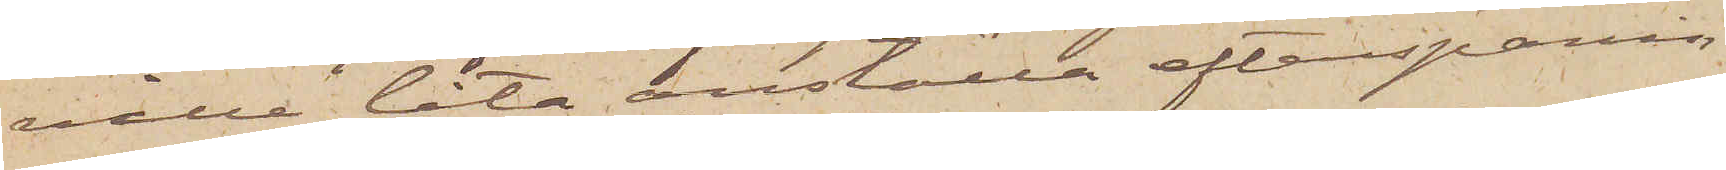ville låta anställa efterspanin¬
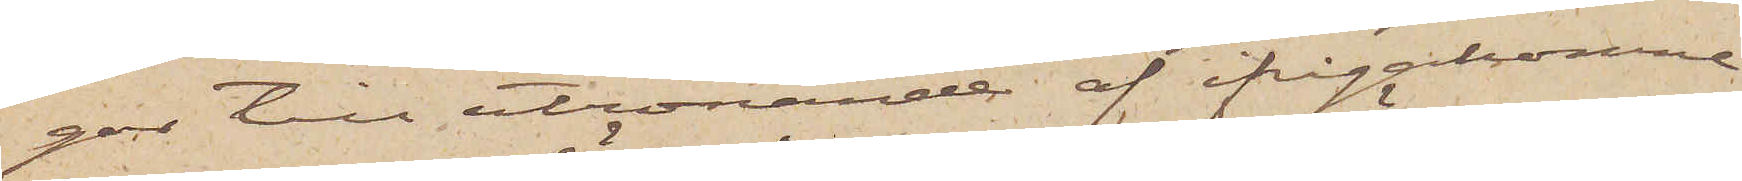gar till utrönande af ifrågakomne
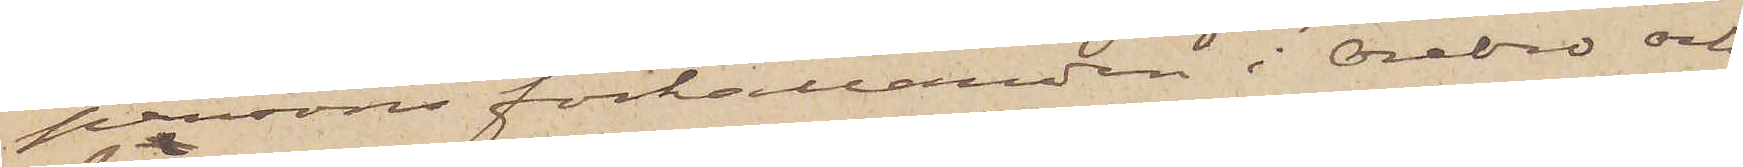persons förhållanden i Örebro och
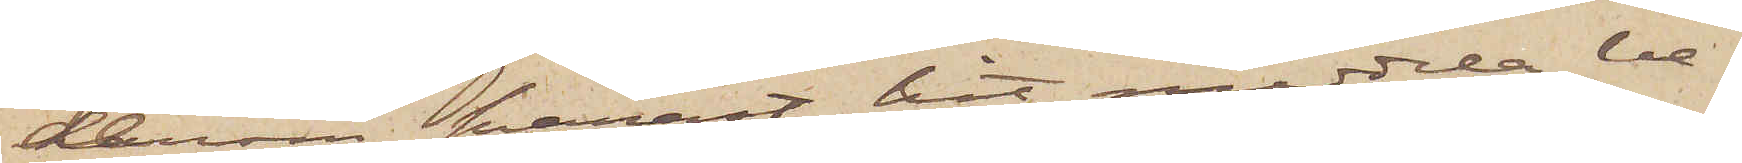derom snarast hit meddela be¬
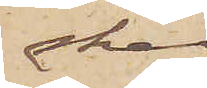sked.
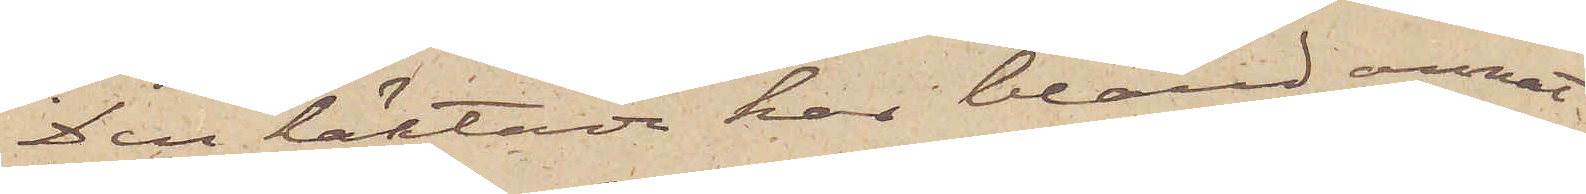Den häktade har bland annat
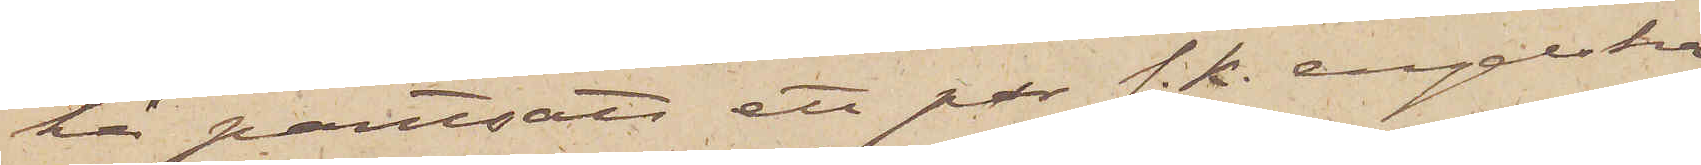här pantsatt ett par s. k. engelska
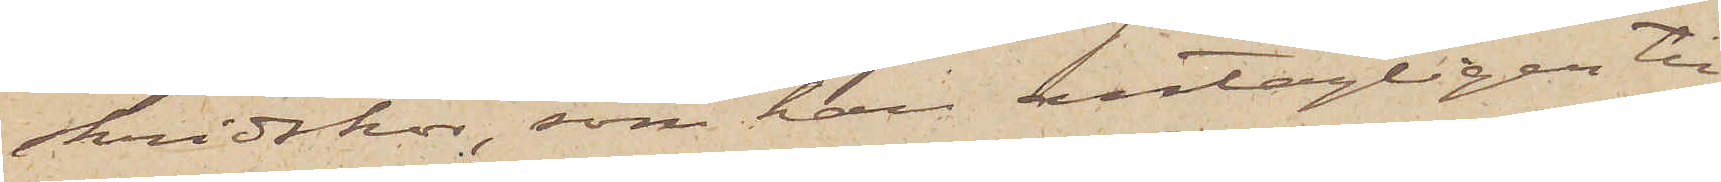skridskor, som han antagligen till¬
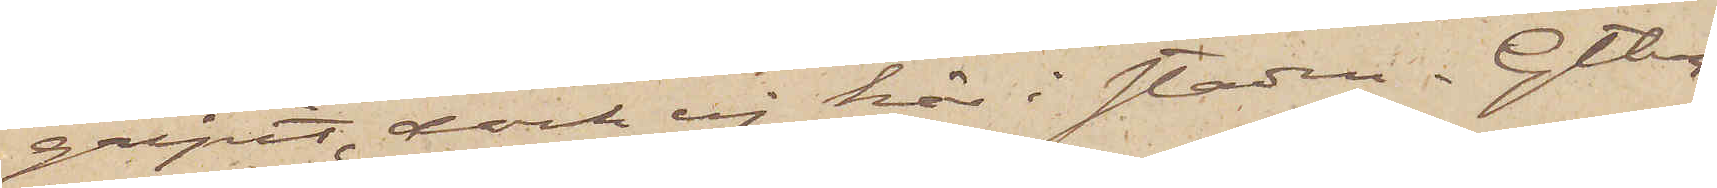gripit, dock ej här i staden. Gtbg
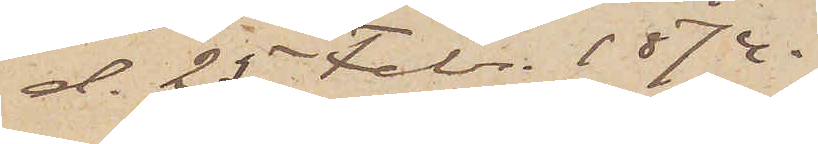d. 25 Febr. 1874.
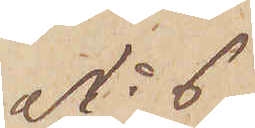No 6
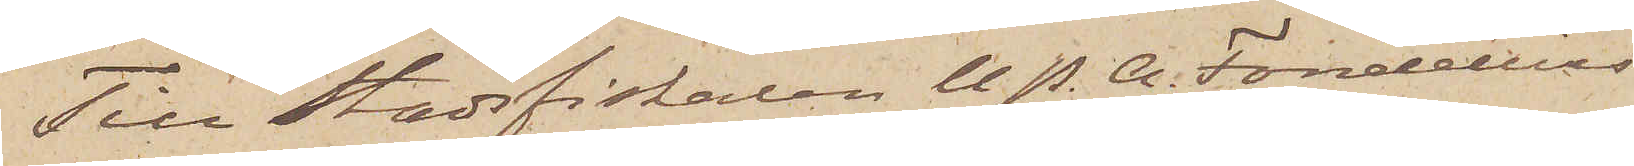Till Stadsfiskalen U. P. A. Fondelius
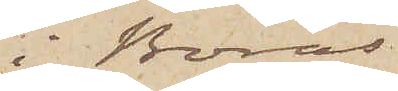i Borås
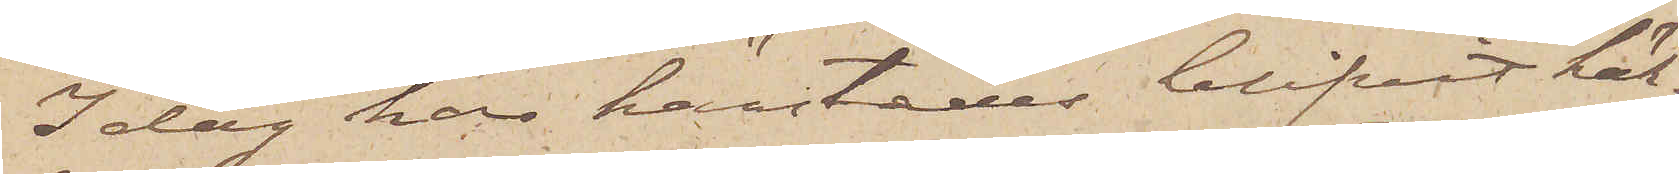I dag har härstädes blifvit häk¬
